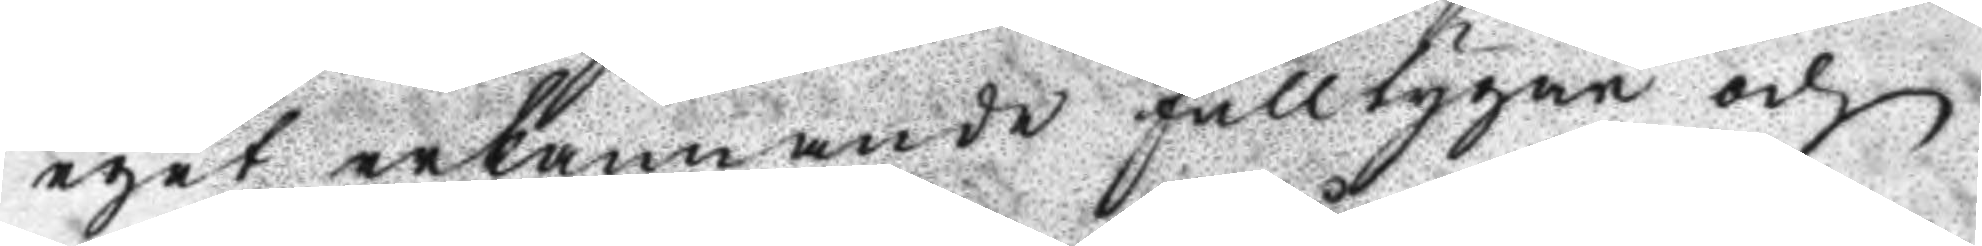eget erkännande fulltygar och
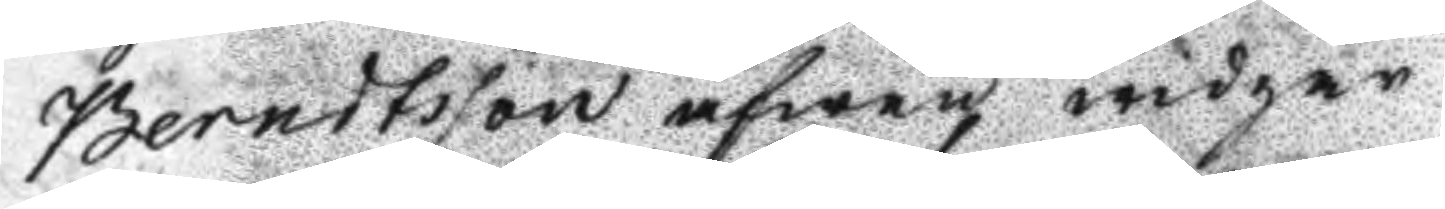Berndtsson äfwen widgår.
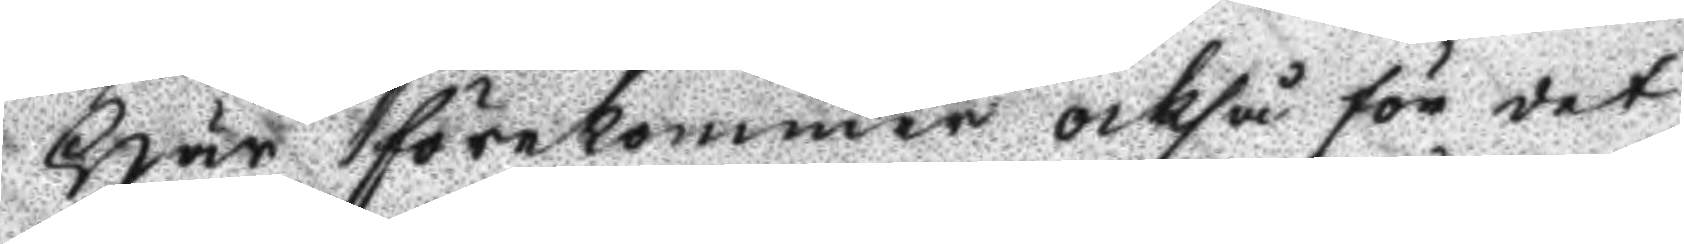Här förekommer också för det
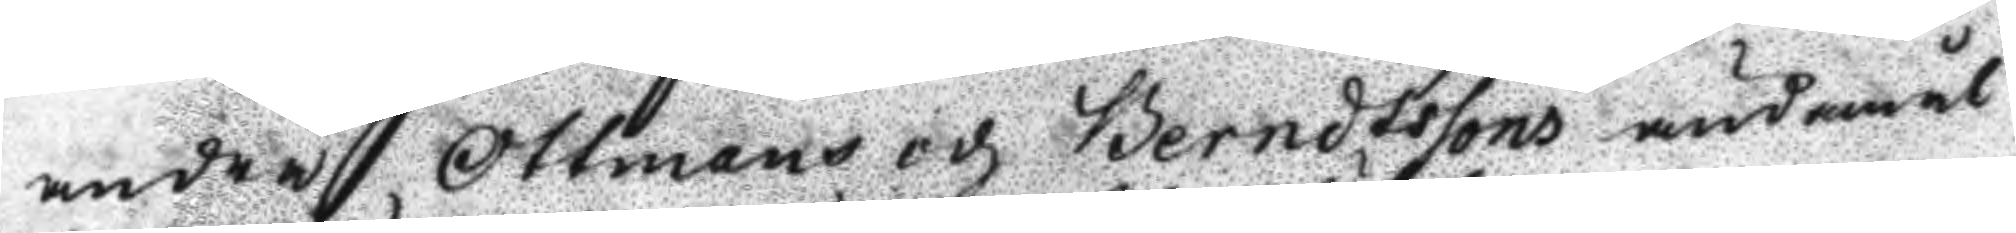andre Ottmans och Berndtssons ändamål
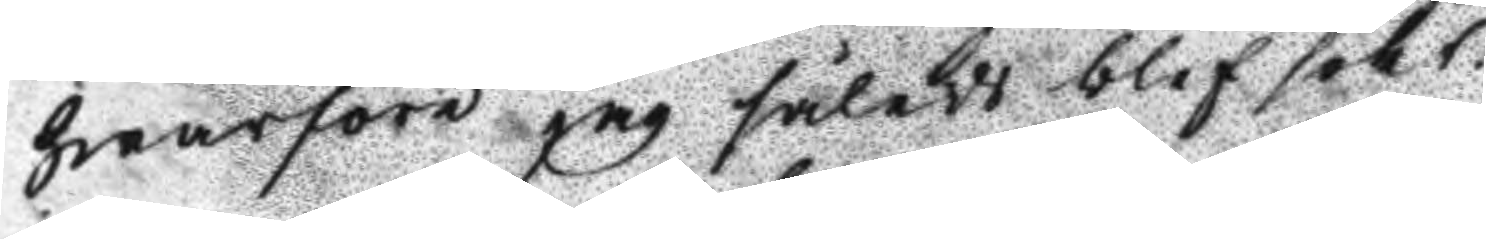hwarföre jag således blef sökt.
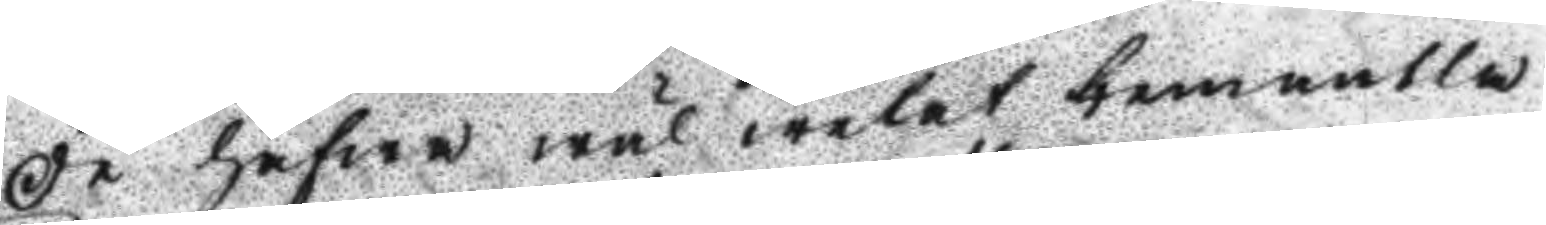De hafwa wäl welat hemnnlla  
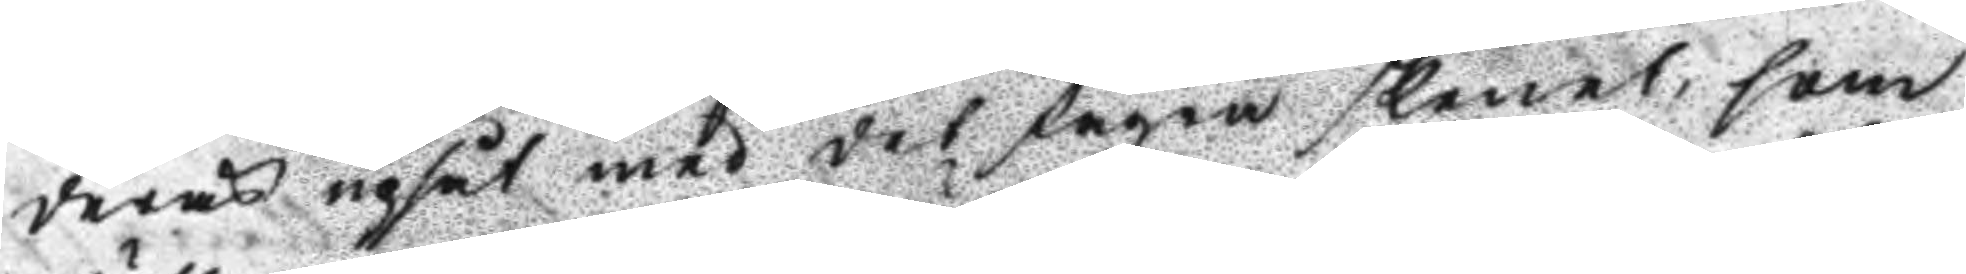deras upsåt med det fagra skelet, som
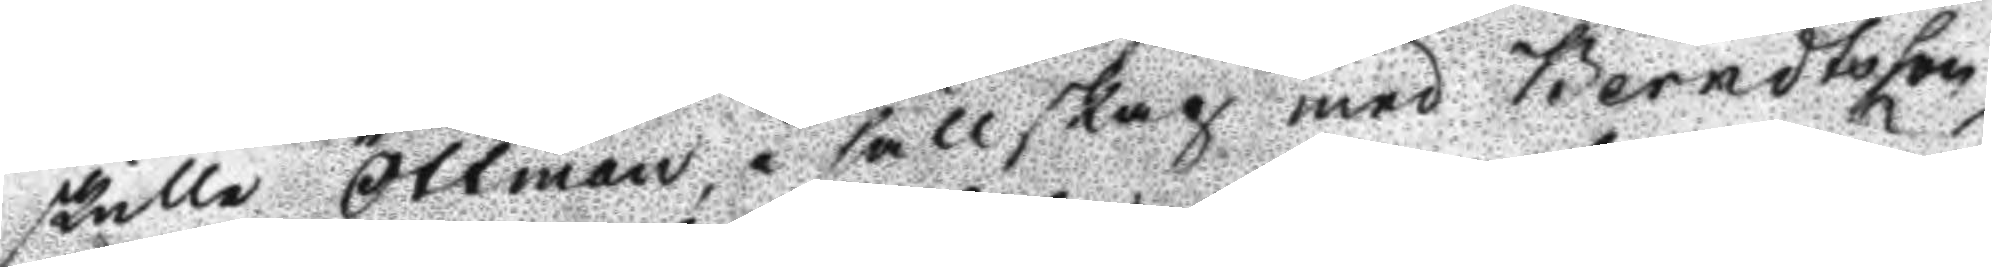skulle Ottman i sällskap med Berndtsson
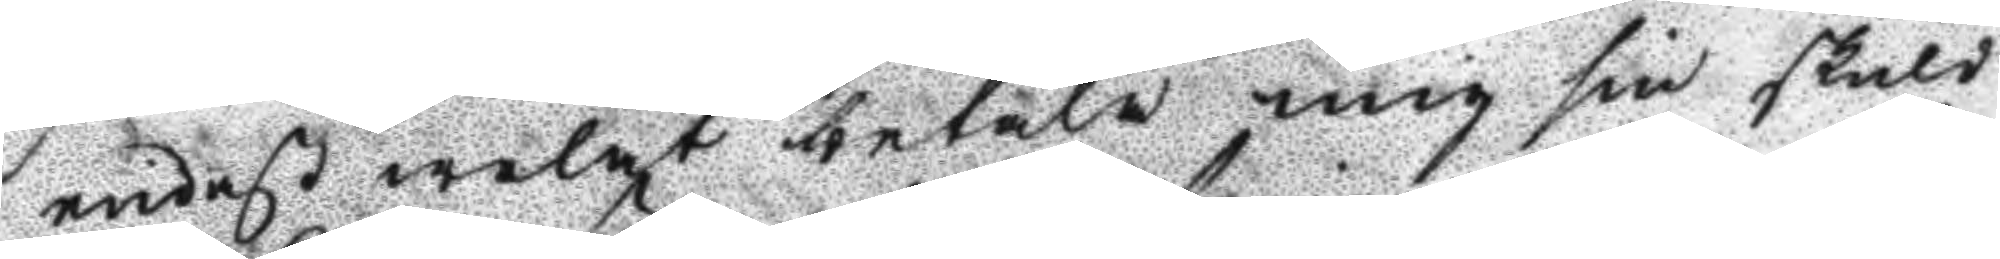endast welat betala mig sin skuld
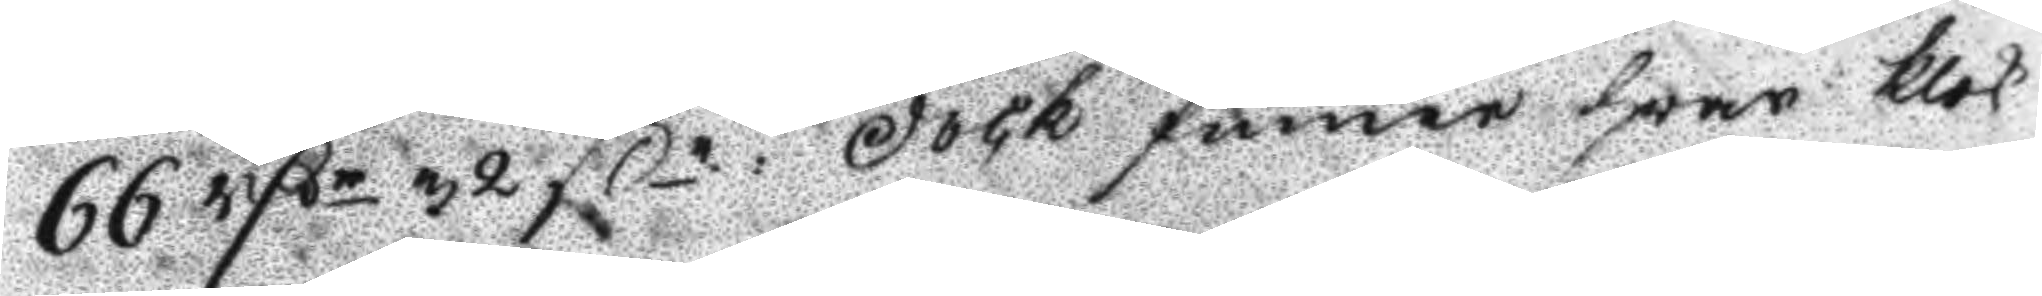66 Rßr 32 ßr: dock finner hvar klok
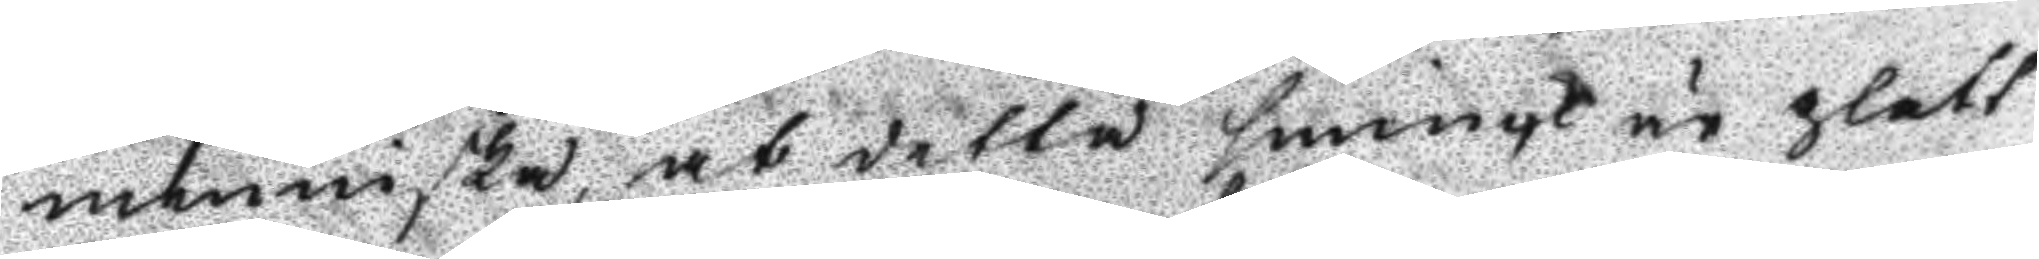menniska, at detta sminqk är glatt
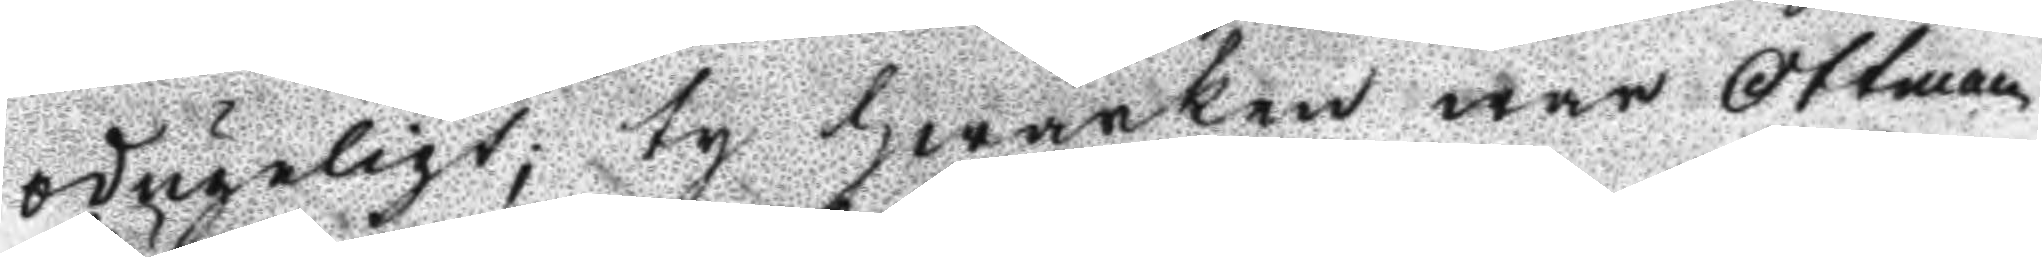odugeligt; ty hwarken war Ottman
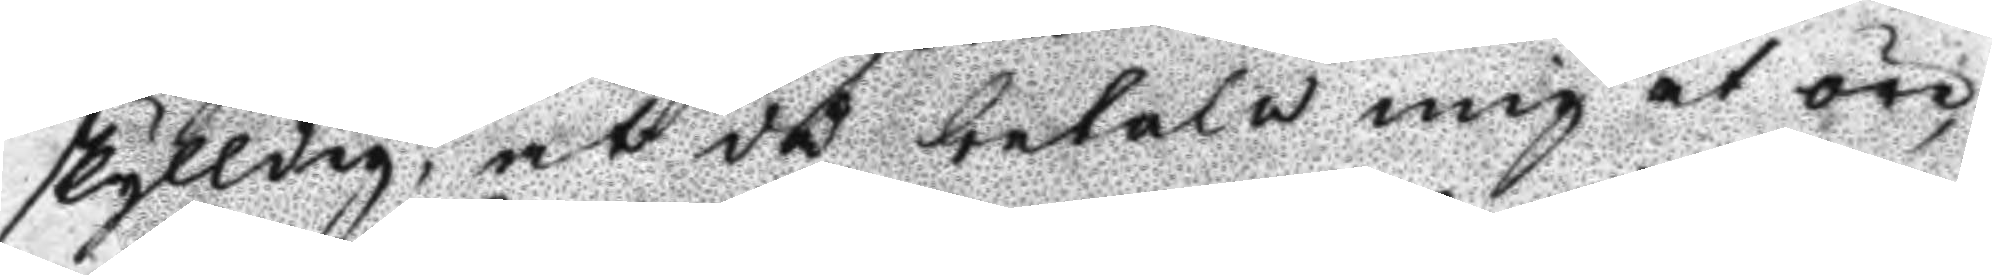skyldig, at då betala mig et öre,
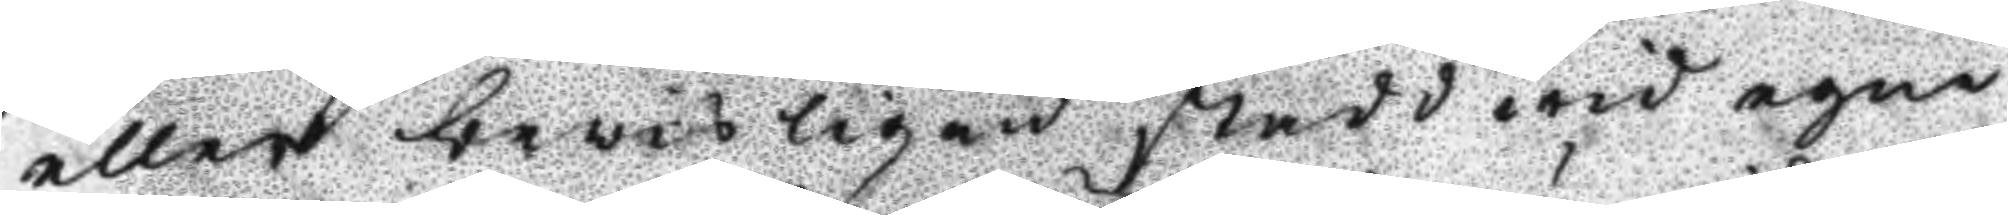eller bewisligen stadd wid egne
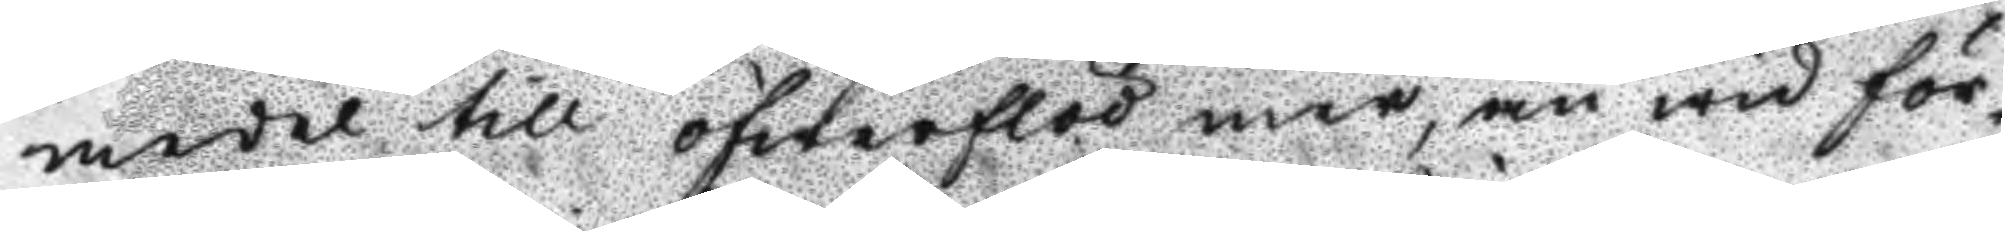medel till öfwerflöd war, än wid för¬
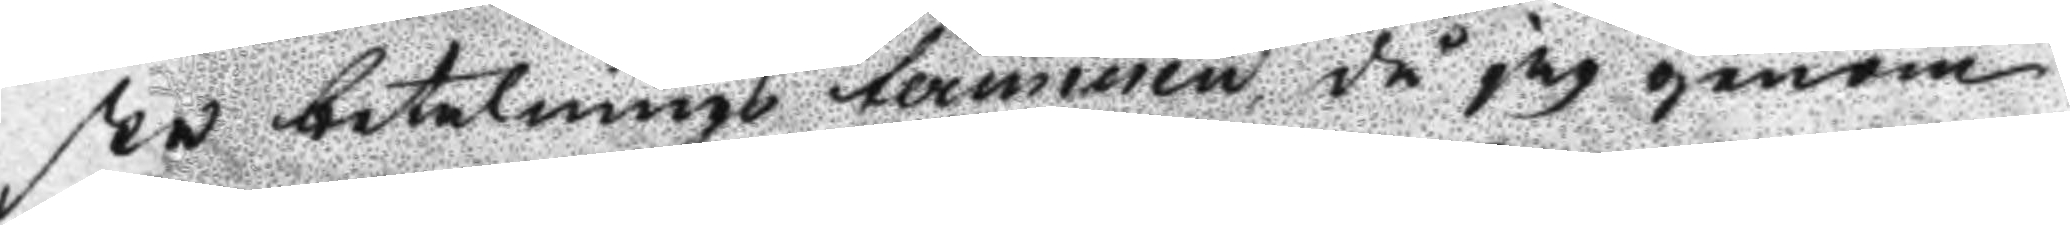ste betalnings terminen då jag genom
